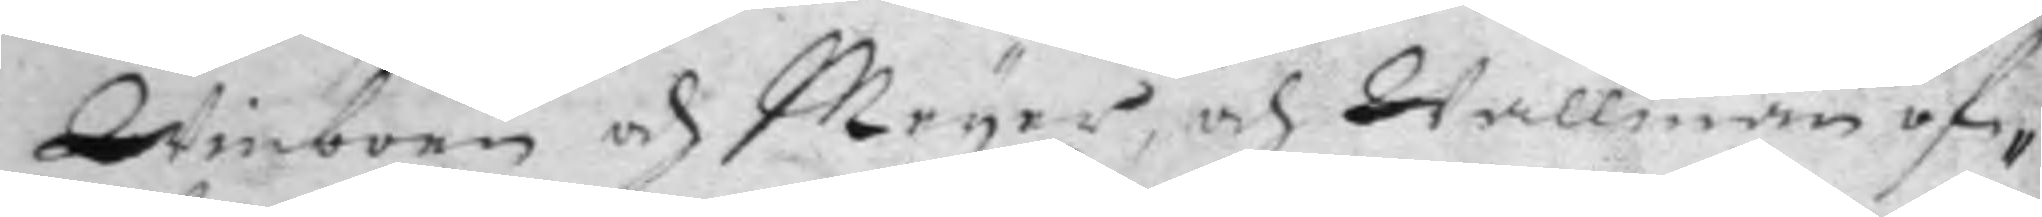Winboen och Meyer, och Wallman of¬
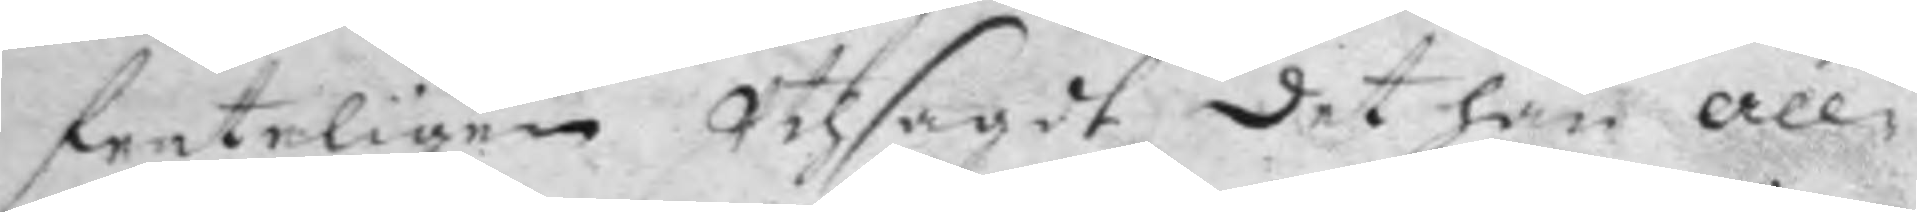fenteligen Uthsagdt det han all¬
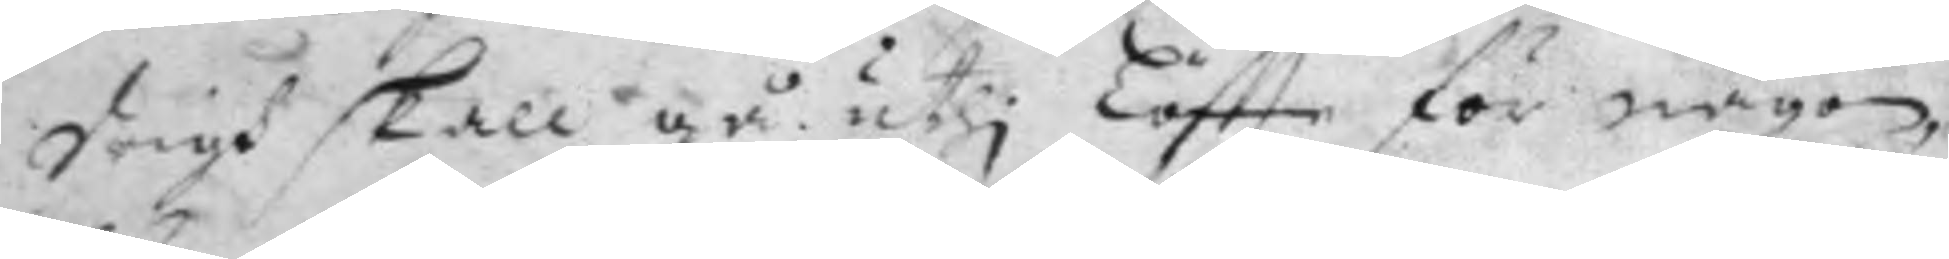drigh skall gå uthi Löftte för någon,
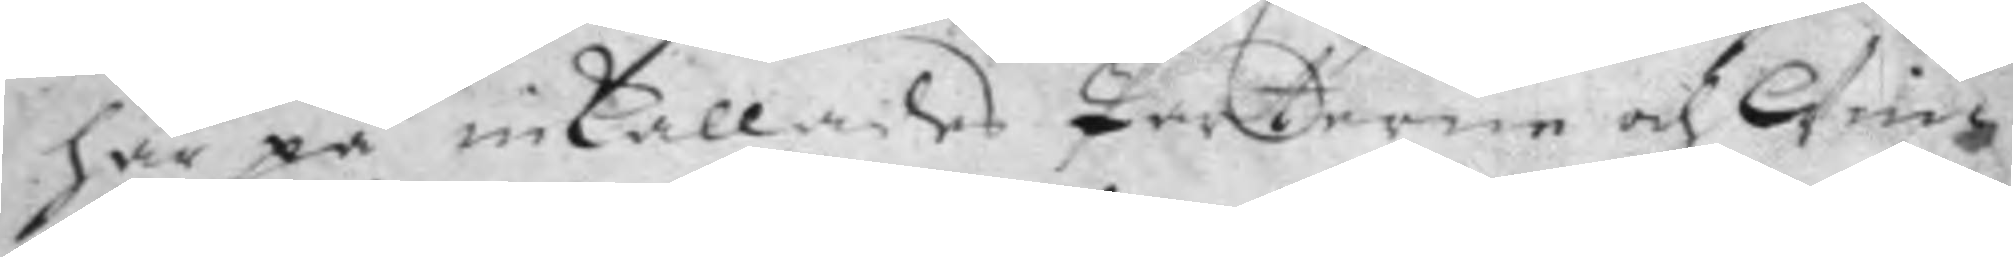här på inkallades Parterne och Win¬
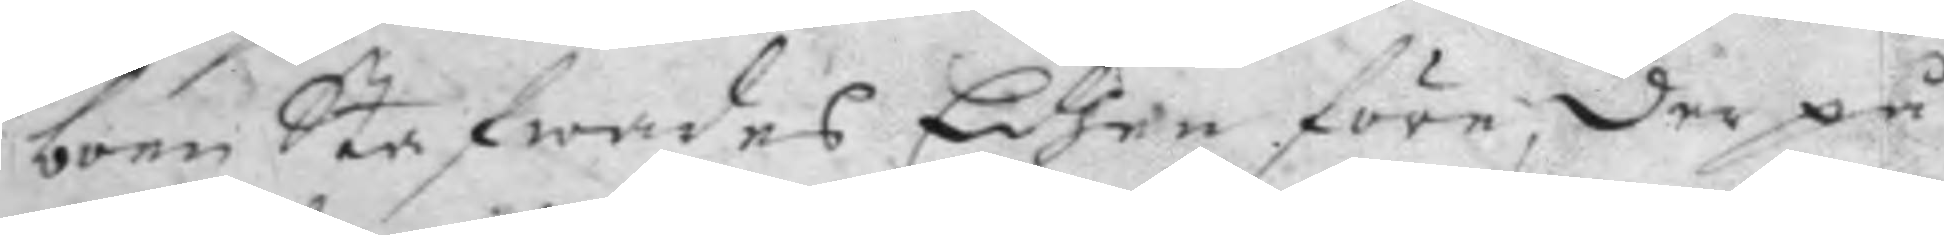boen Stafwades Edhen före, derpå
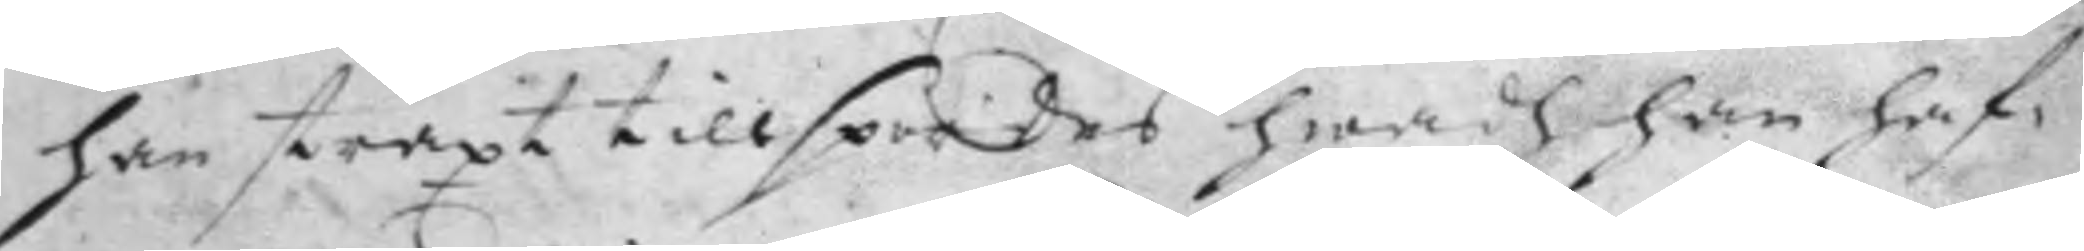han straxt tillspordes hwadh han haf¬
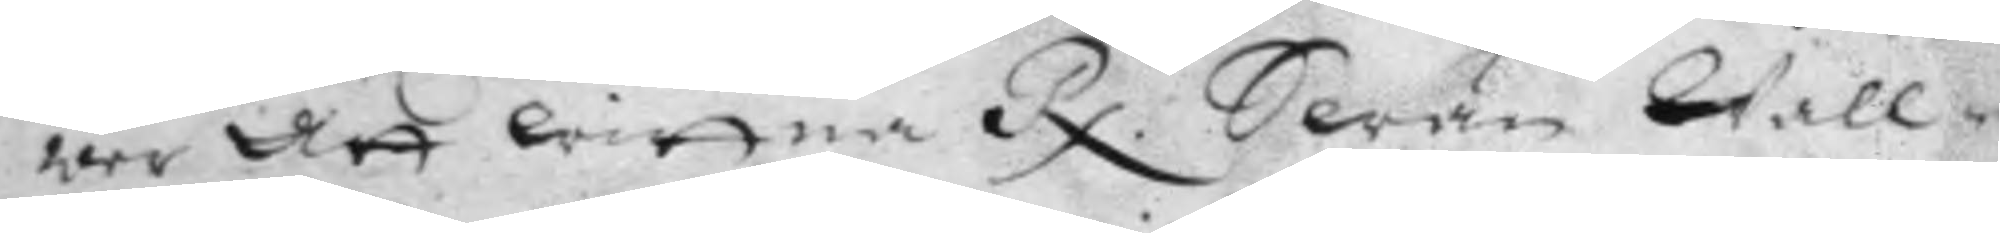wer att wittna Rx. Swän Wall¬ 
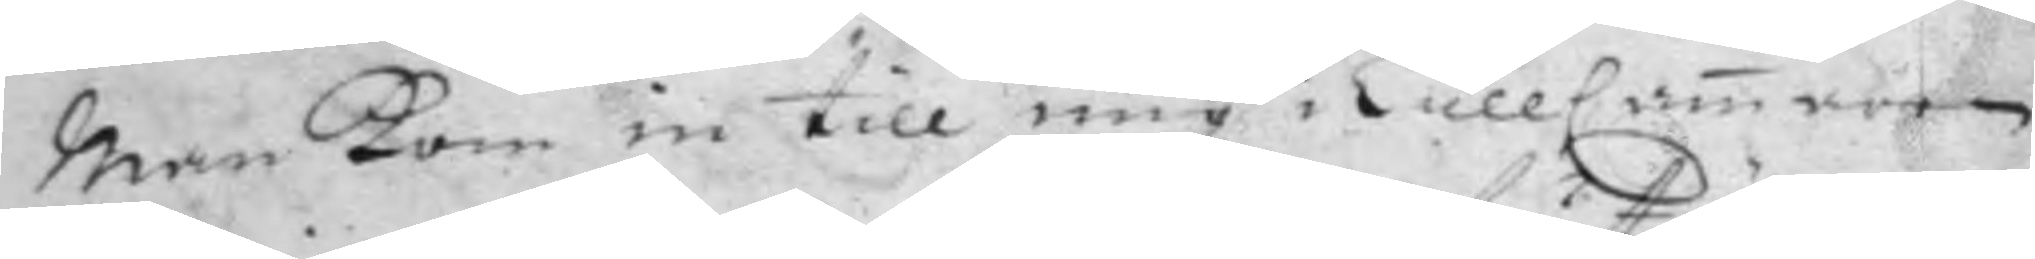Man Kom in till mig i TullCamaren
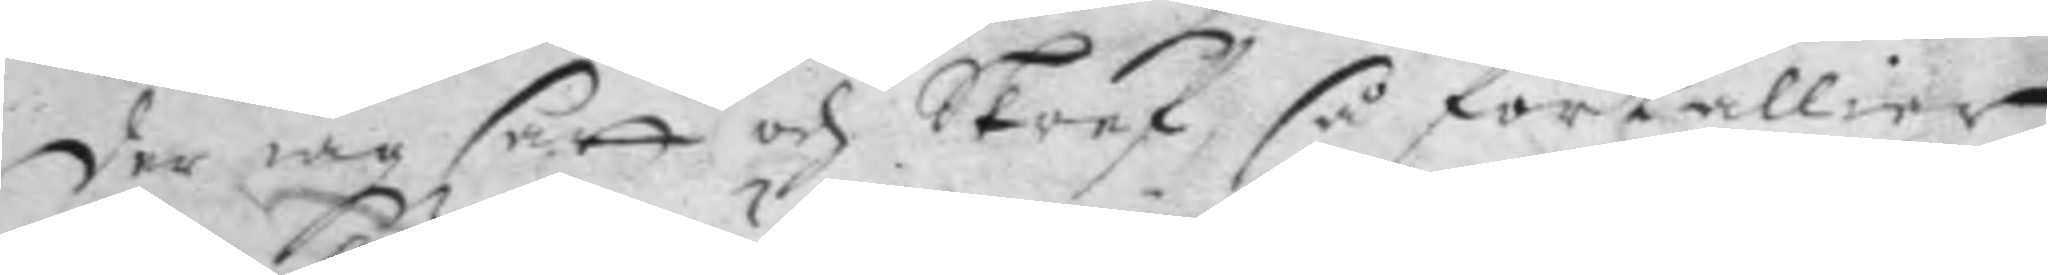der iag satt och Skref, så förtällier
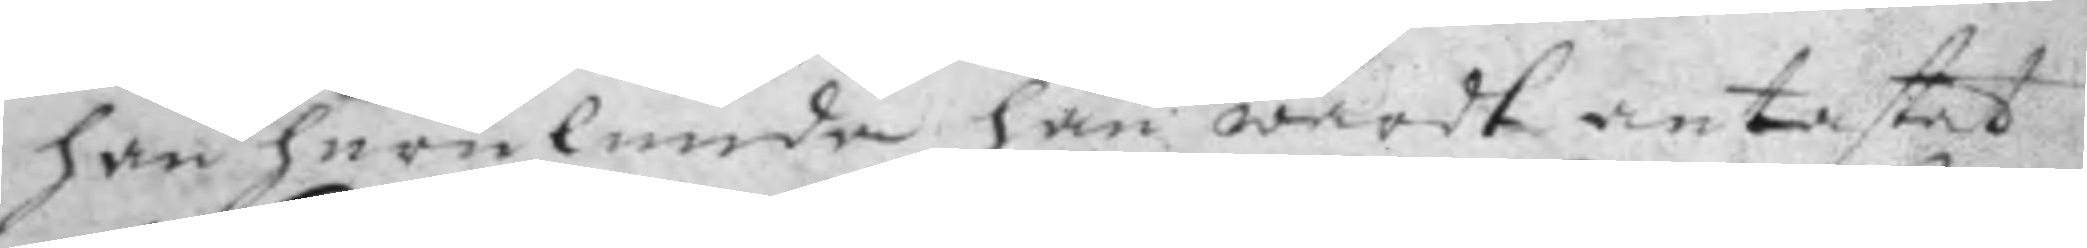han hurulunde han wardt antastat
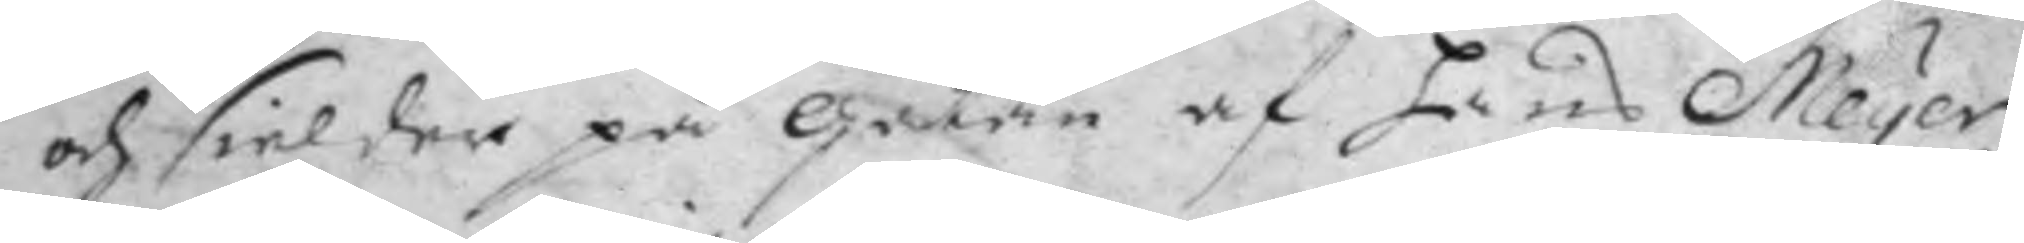och sielder på Gatan af hans Meyer
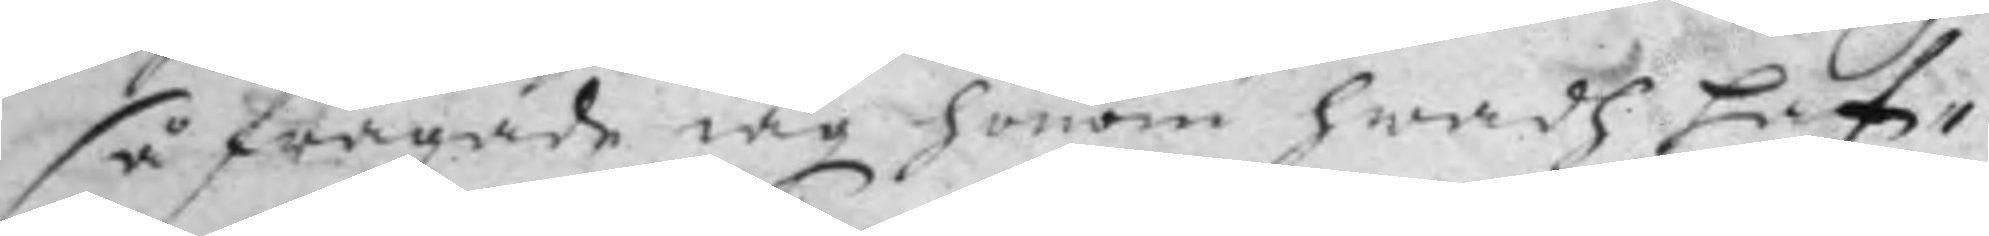så frågade iag honom hwadh haf¬
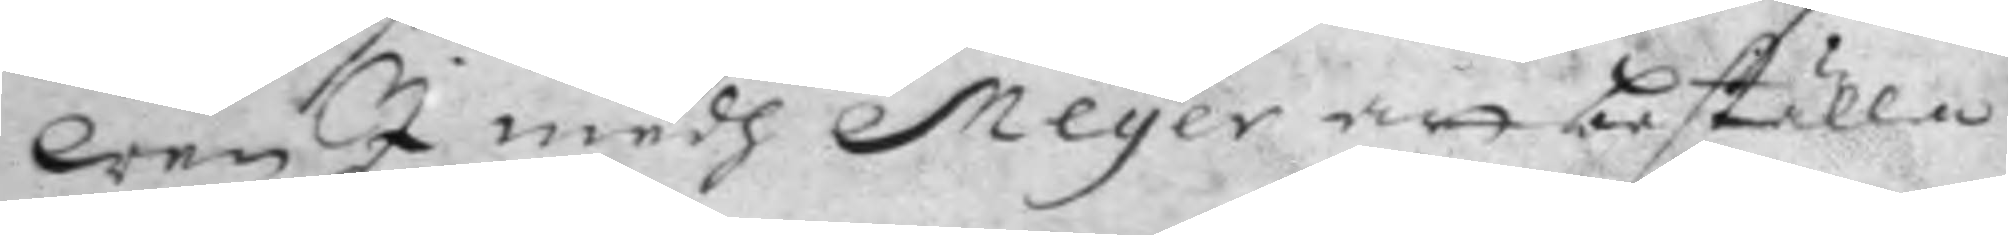wen I medh Meyer att beställa
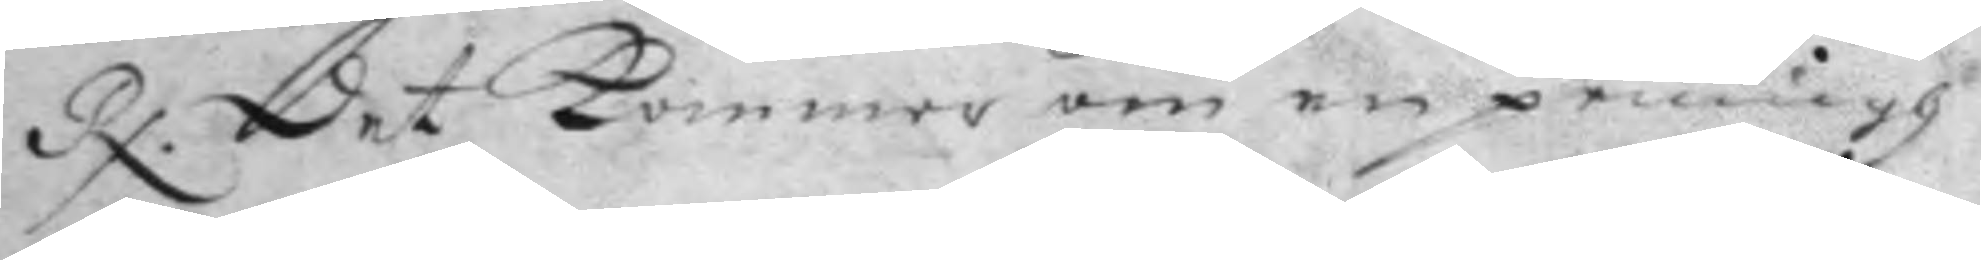Rx. Det kommer om en pennigh 
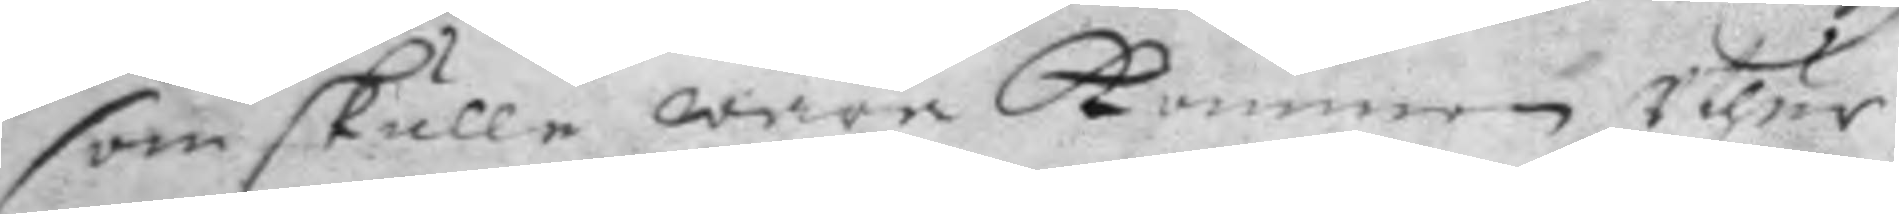som skulle wara Kommen uthur
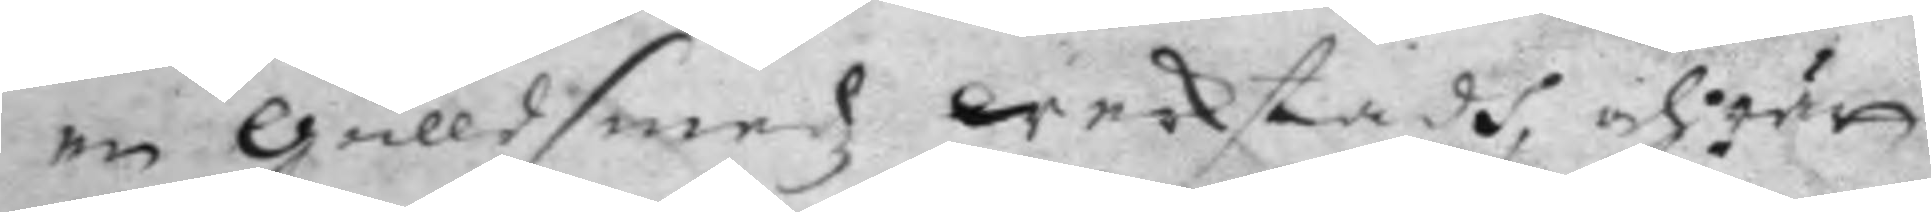en gulldsmedz werkstadh, och rätt
